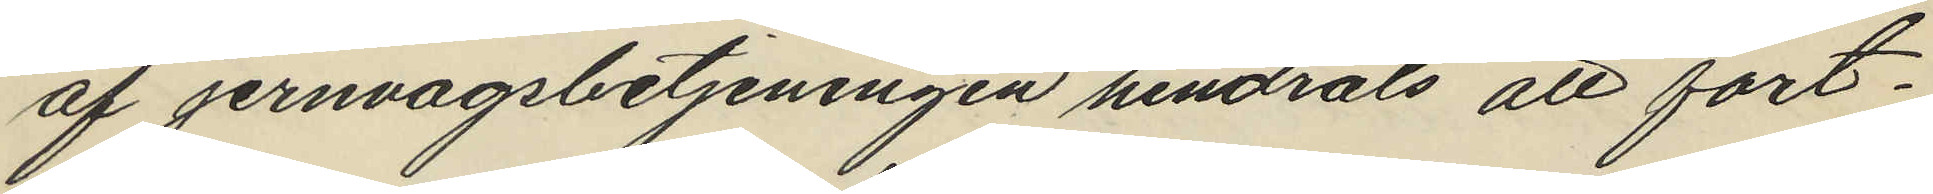af jernvagsbetjeningen hindrats att fort¬
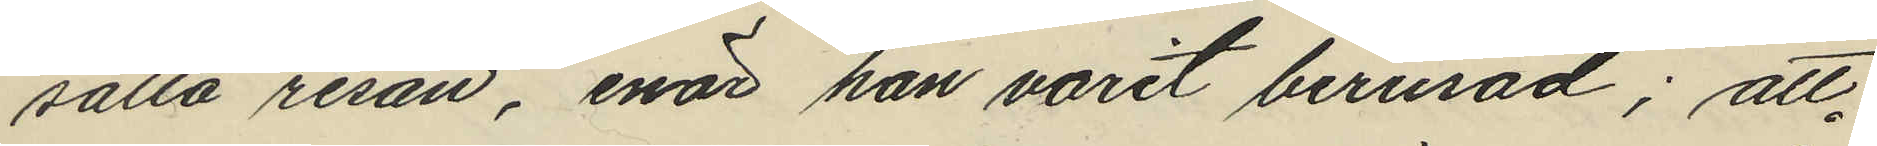sätta resan, enär han varit berusad; att
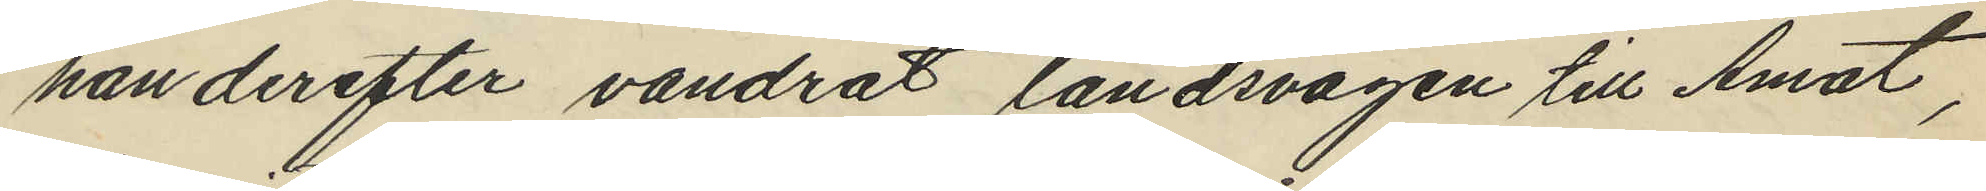han derefter vandrat landsvägen till Åmot,
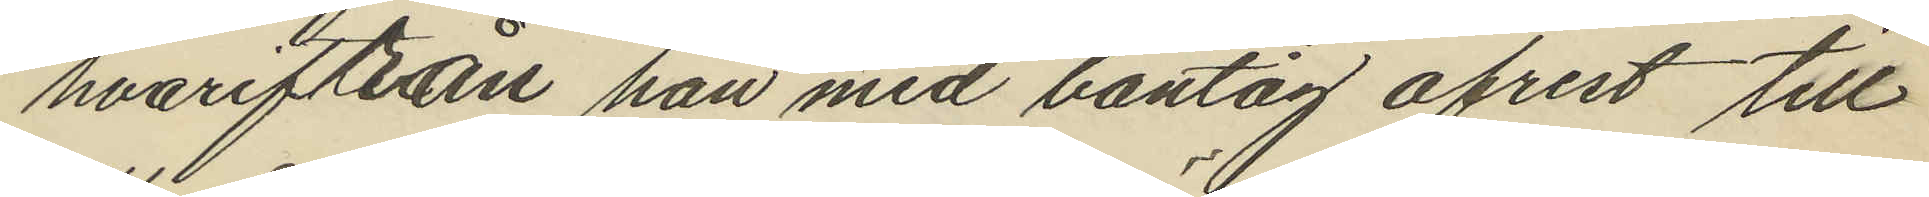hvarifrån han med bantåg afrest till
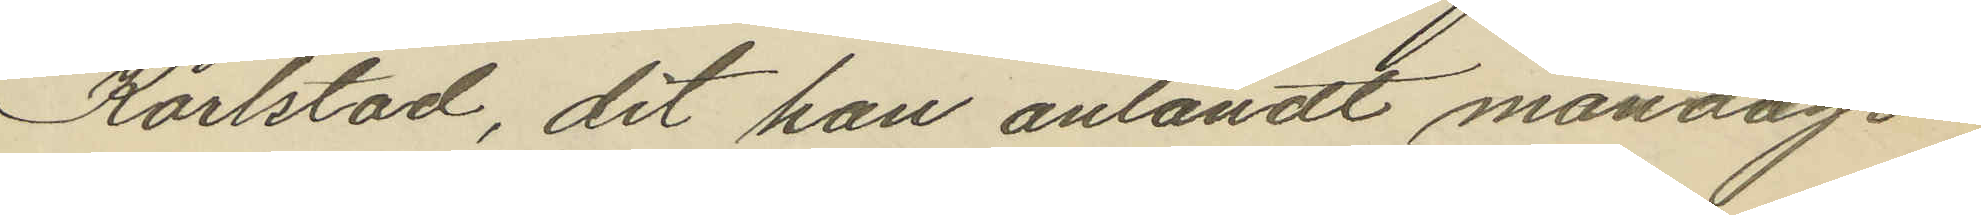Karlstad, dit han anländt måndagen
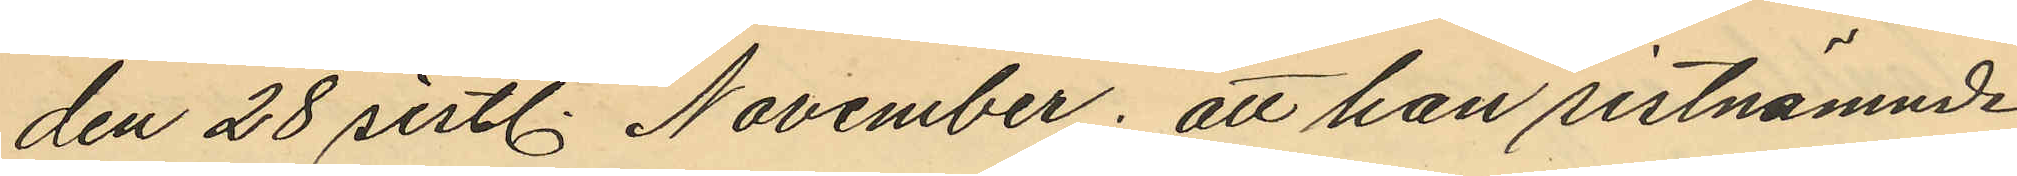den 28 sistl. November; att han sistnämnde
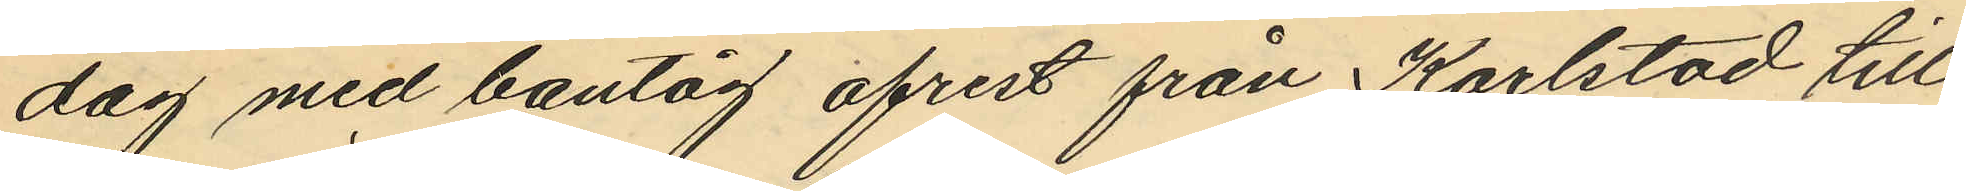dag med bantåg afrest från Karlstad till
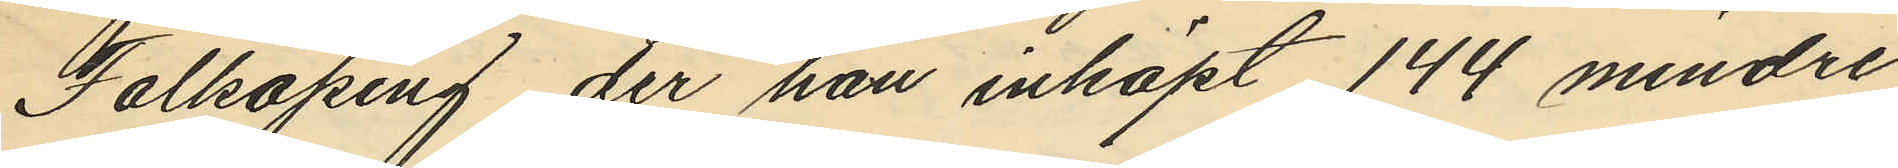Falköping der han inköpt 144 mindre
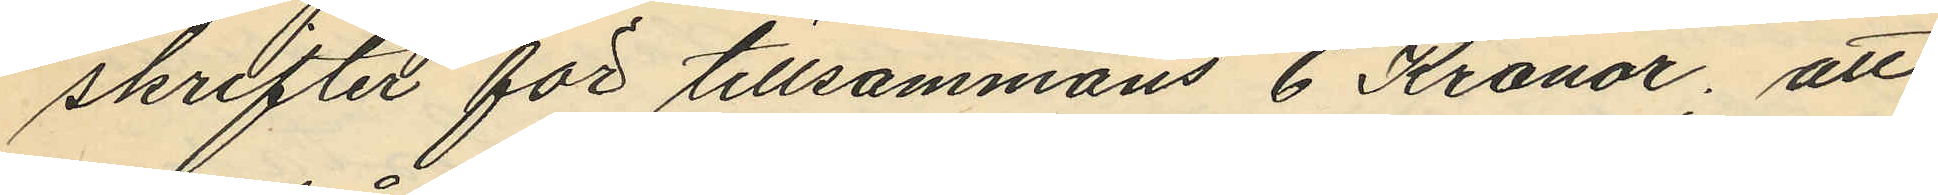skrifter för tillsammans 6 Kronor; att
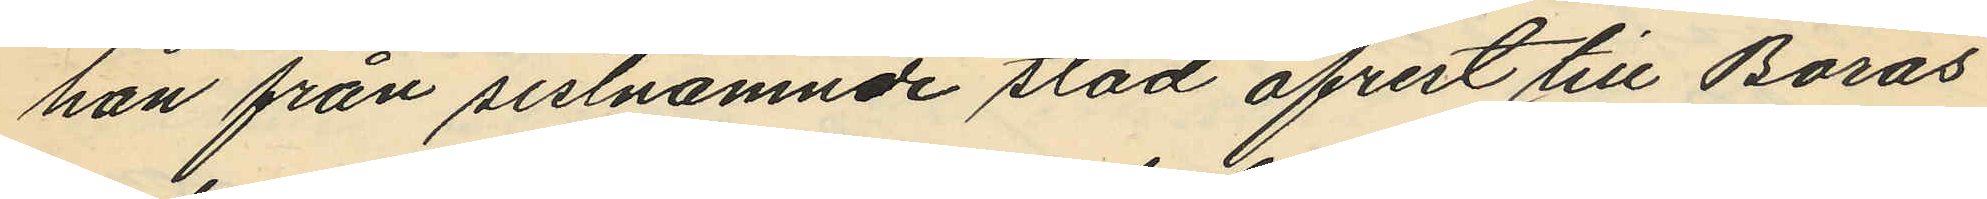han från sistnämnde stad afrest till Borås
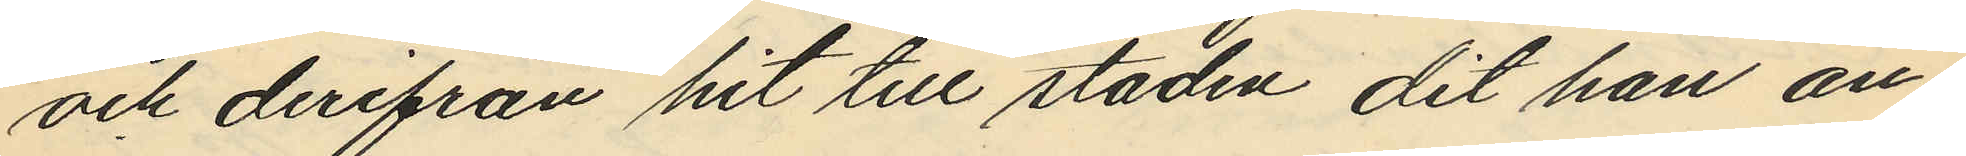och derifrån hit till staden, dit han an¬
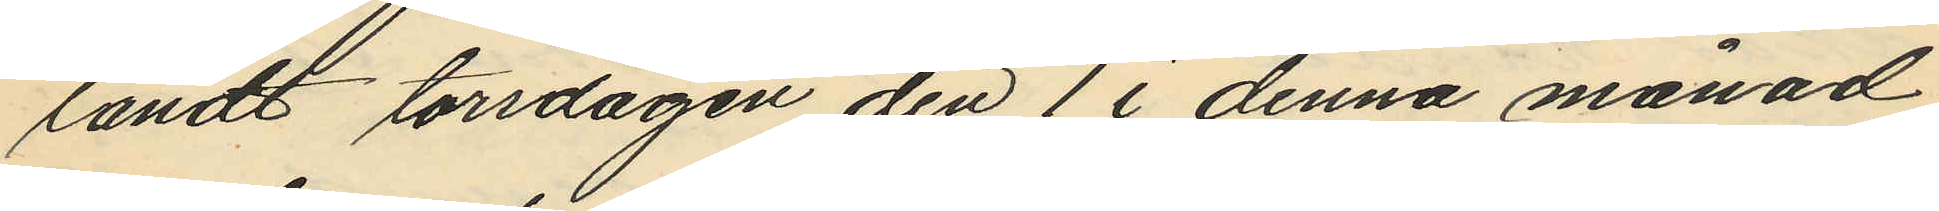ländt torsdagen den 1 i denna månad
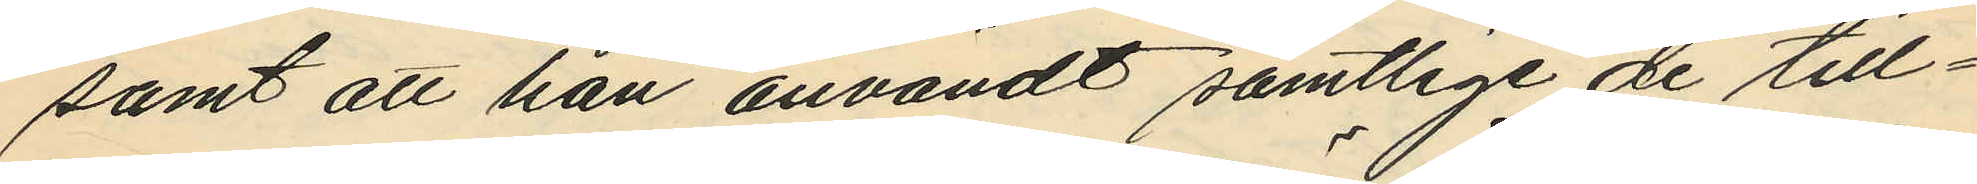samt att han användt samtlige de till¬
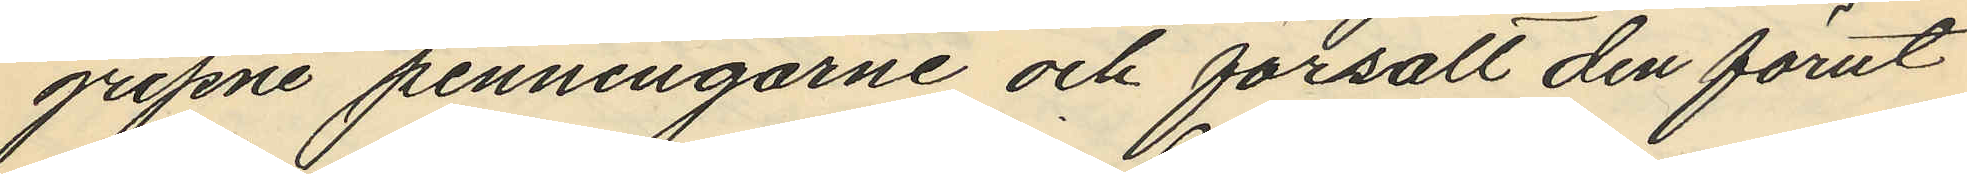gripne penningarne och försålt den förut
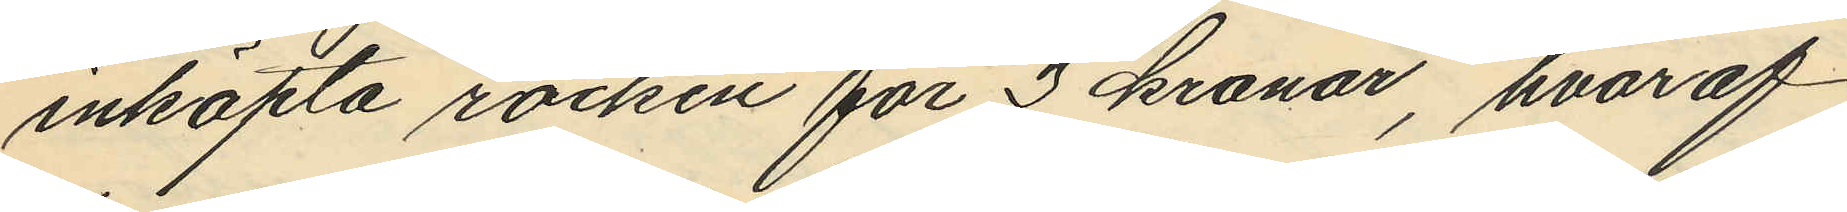inköpta rocken för 3 kronor, hvaraf
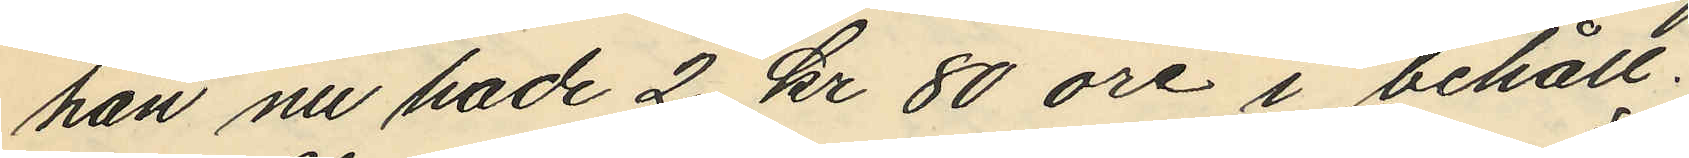han nu hade 2 kr 80 öre i behåll.
